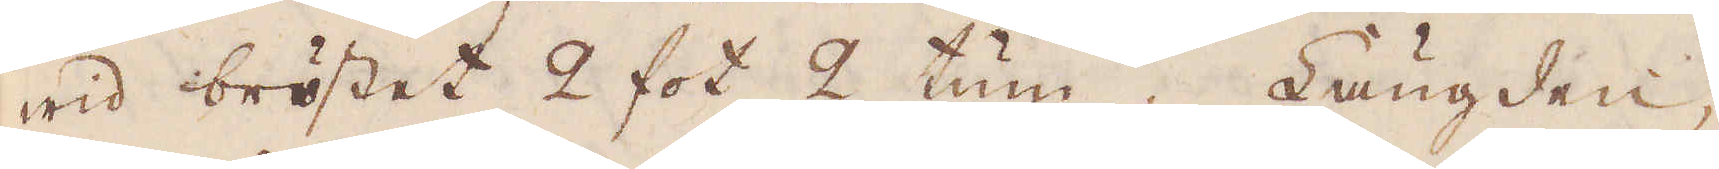wid bröstet 2 fot 2 tum. Längden,
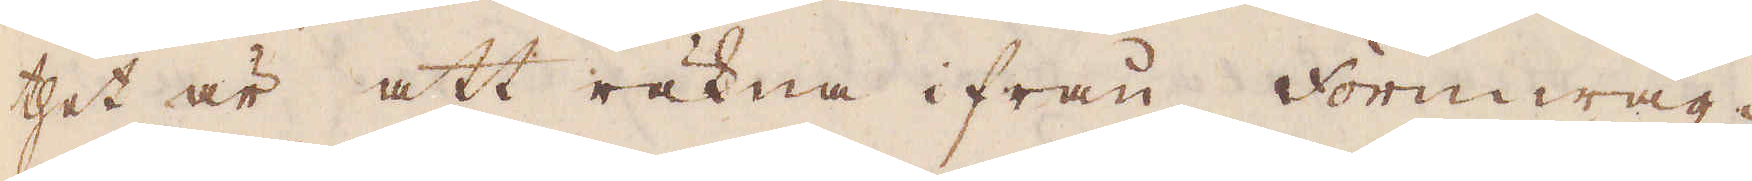thet är att räkna ifrån Formwäg-
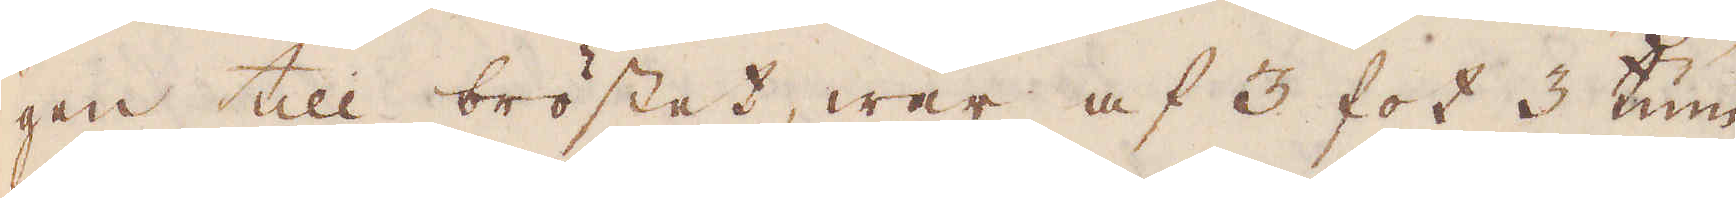gen till bröstet, war af 3 fot 3 tum
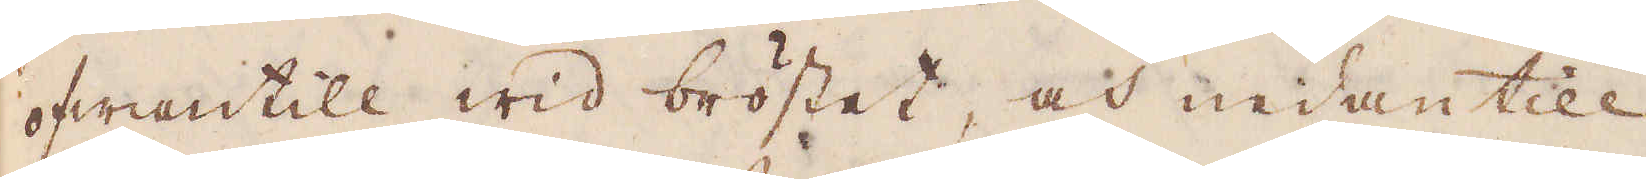ofwantill wid bröstet, och nedantill
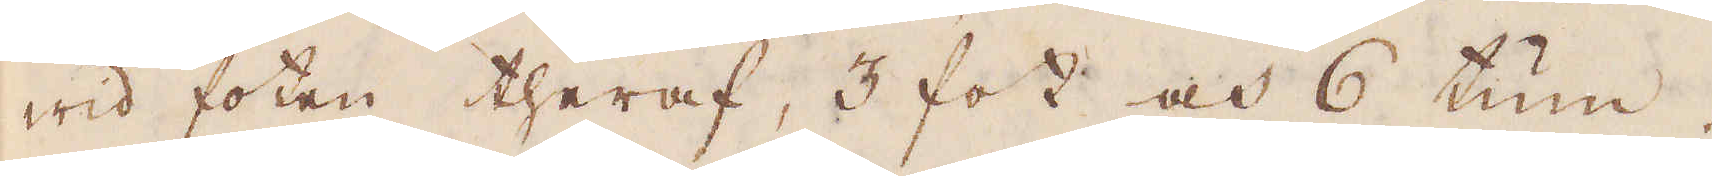wid foten theraf, 3 fot och 6 tum.
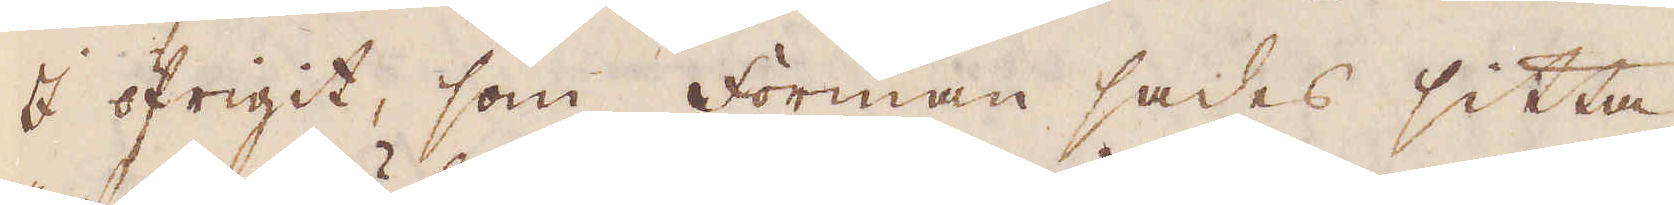I öfrigit, som forman sades sitta
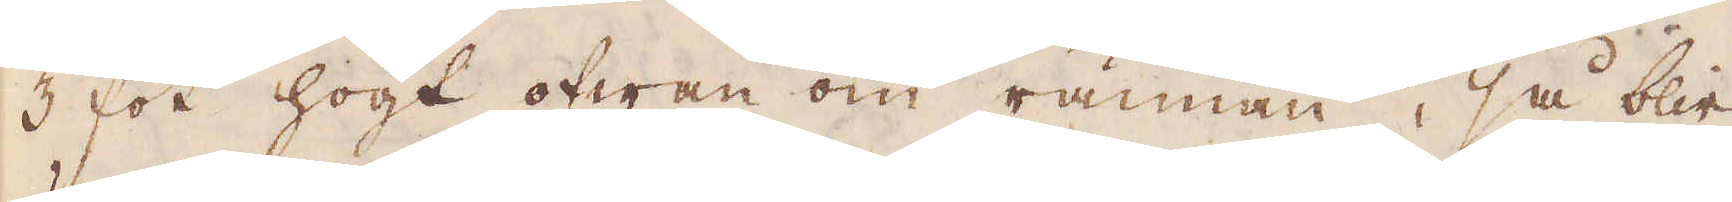3 fot högt ofwan om rännan, så blir
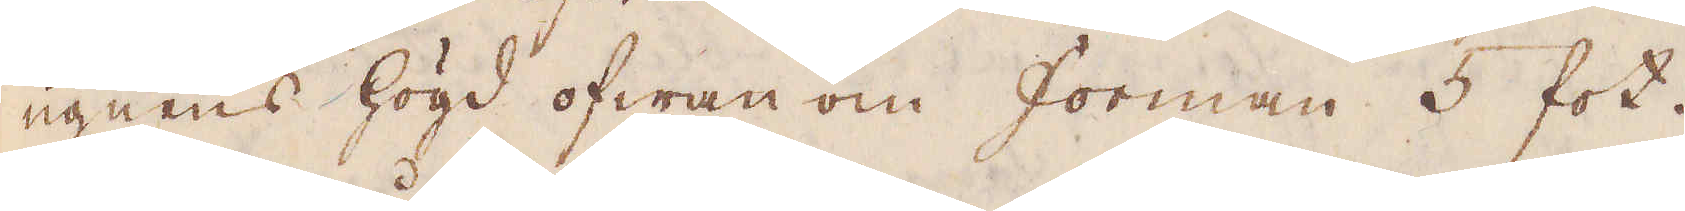ugnens högd ofwan om forman 5 fot.
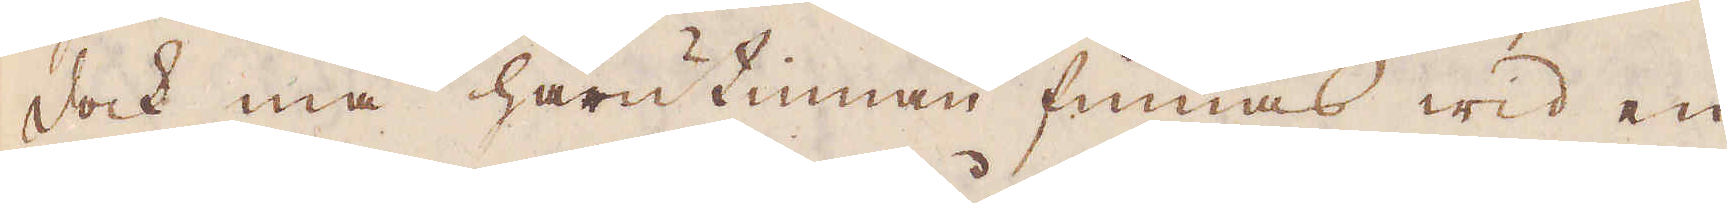Dock må härutinnan finnas wid en
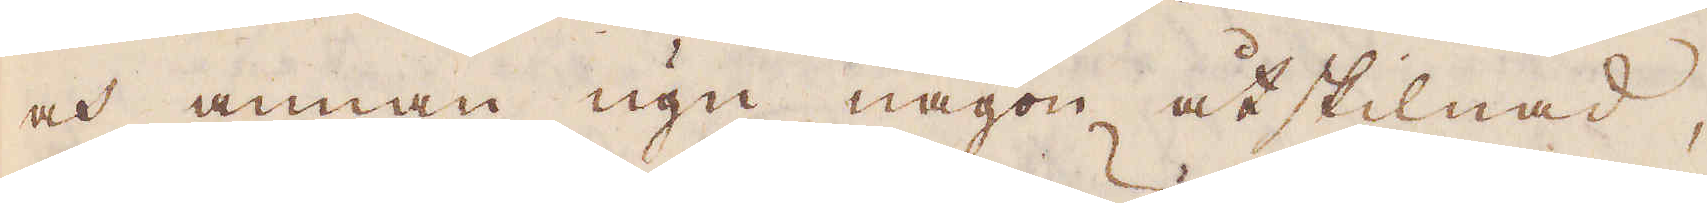och annan ugn någon åtskillnad,
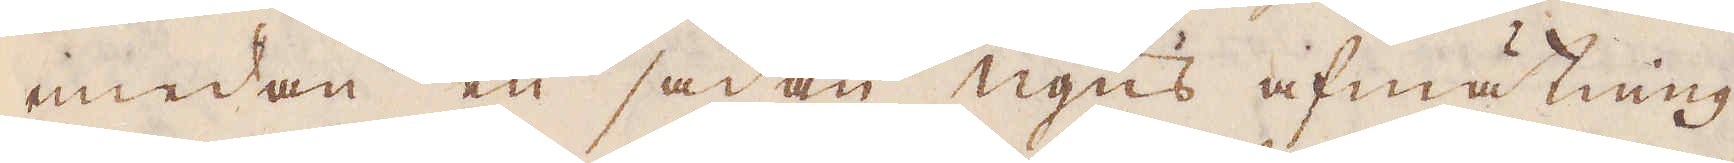medan en sådan ugns afmätning
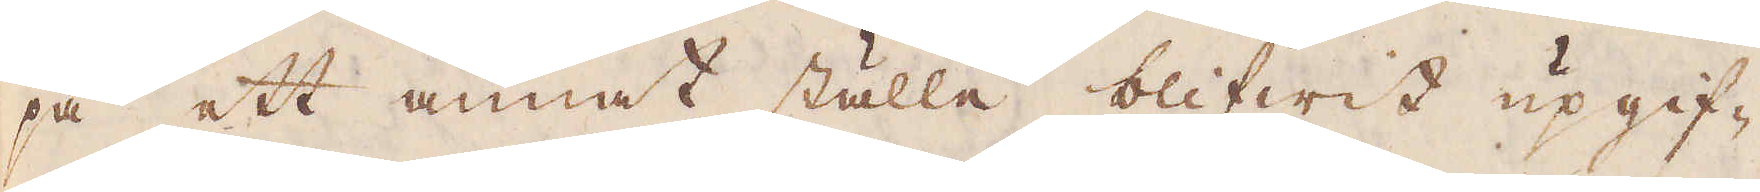på ett annat ställe blifwit upgif-
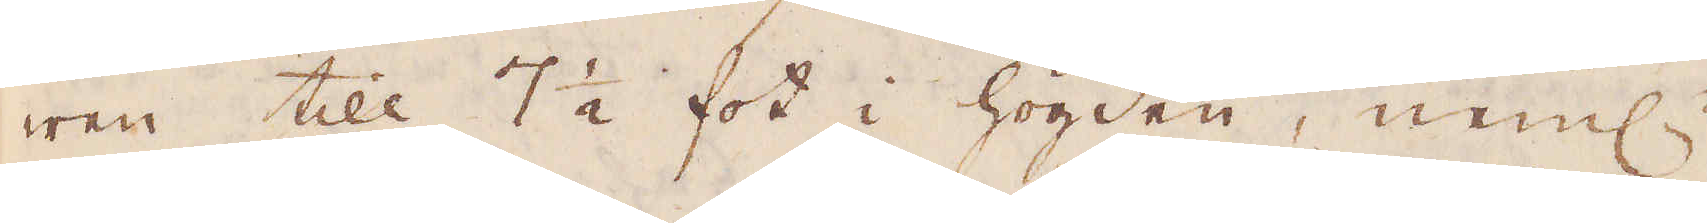wen till 7 1/2 fot i högden, neml:
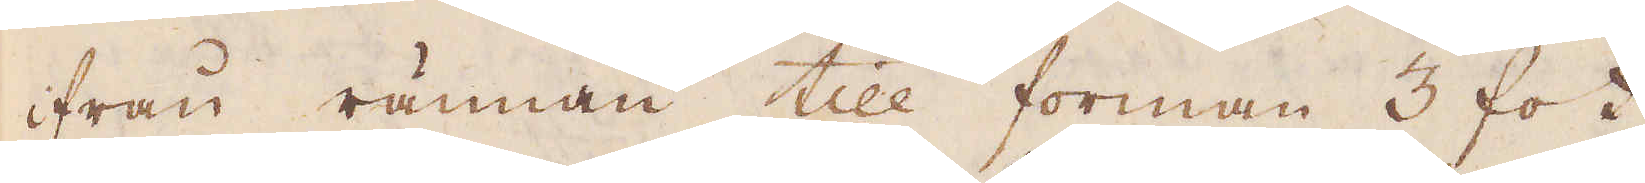ifrån rännan till forman 3 fot
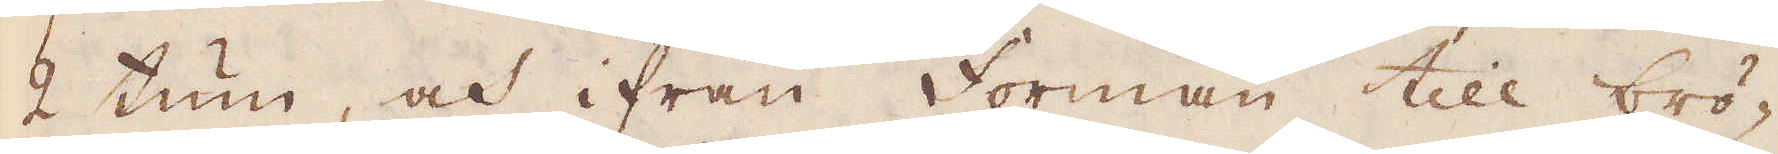2 tum, och ifrån Forman till brö-
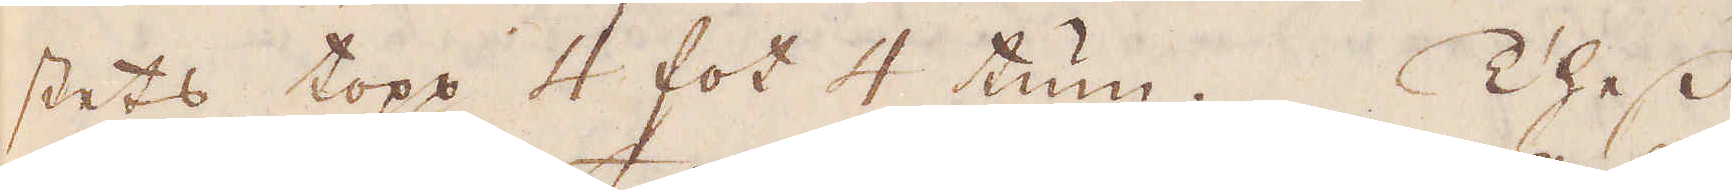stets topp 4 fot 4 tum. Thess
